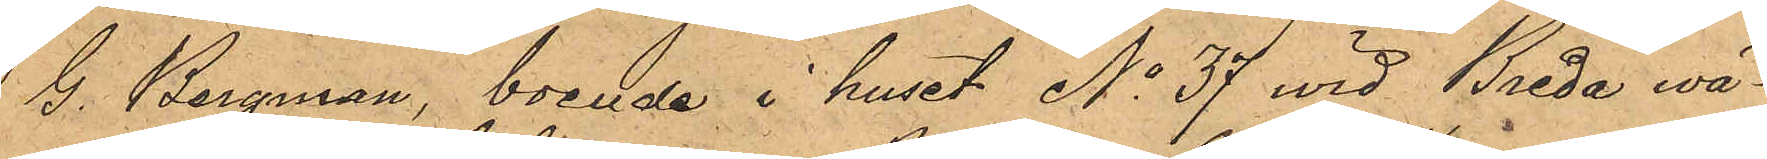G. Bergman, boende i huset No 37 vid Breda wä¬
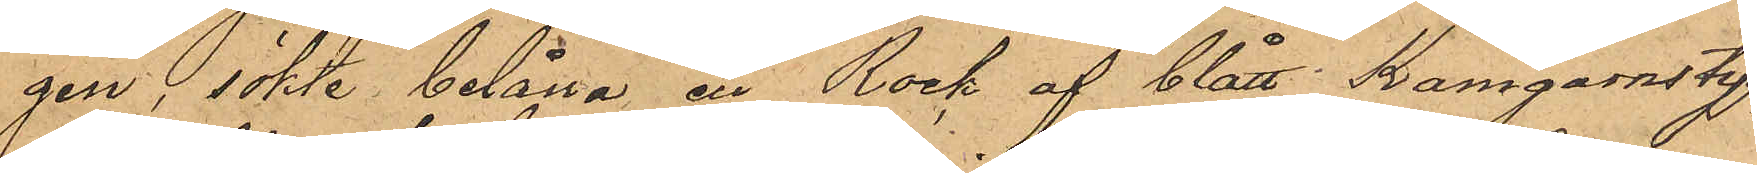gen, sökte belåna en Rock af blått Kamgarnstyg,
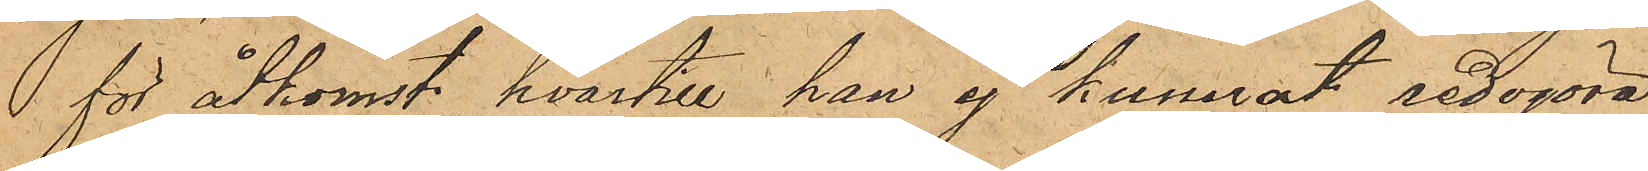för åtkomst hvartill han ej kunnat redogöra.
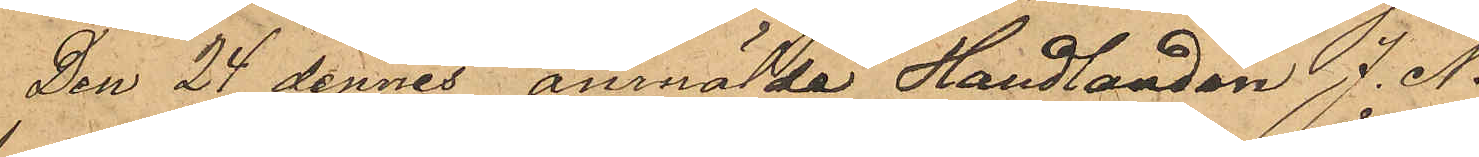Den 24 dennes anmälde Handlanden J. N.
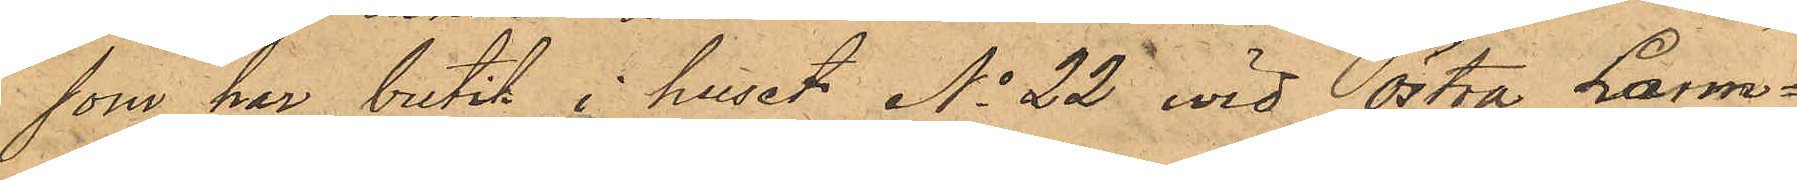som har butik i huset No 22 wid Östra Larm¬
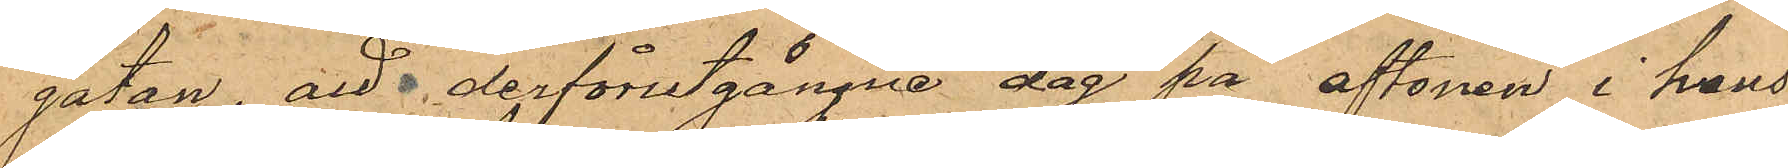gatan, att derförutgångne dag på aftonen i hans
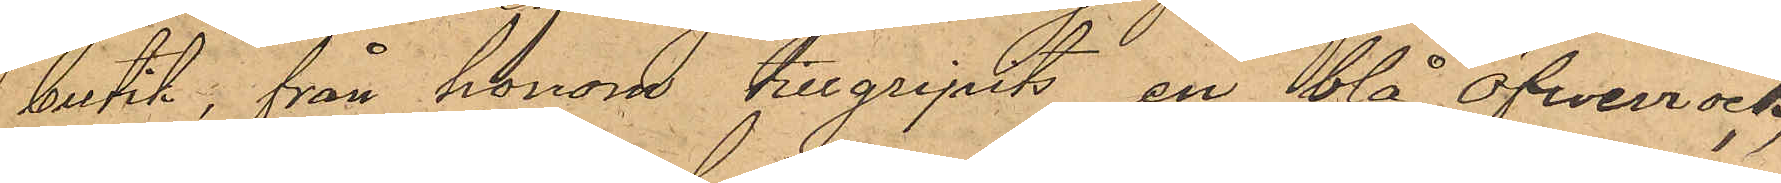butik, från honom tillgripits en blå öfwerrock,
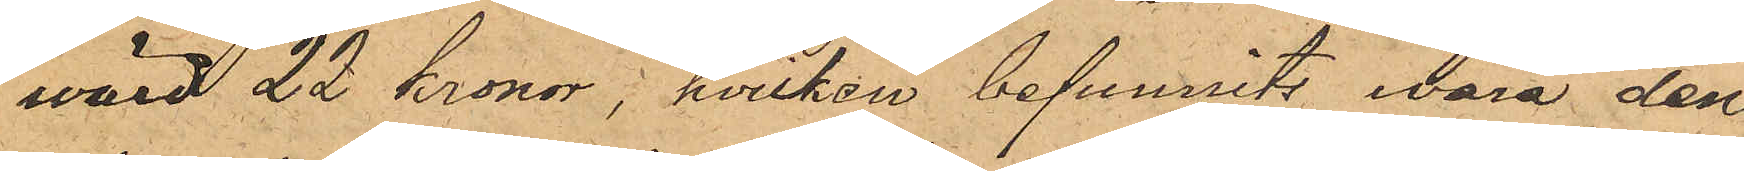värd 22 kronor; hvilken befunnits wara den,
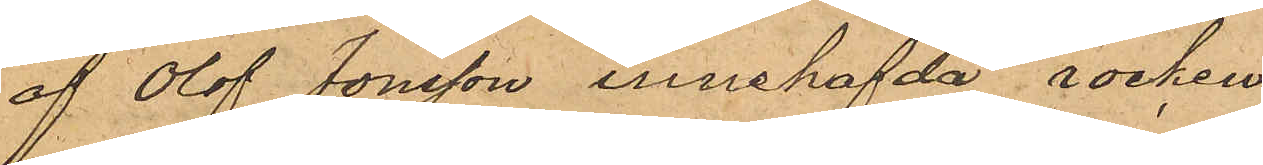af Olof Jonsson innehafda rocken.
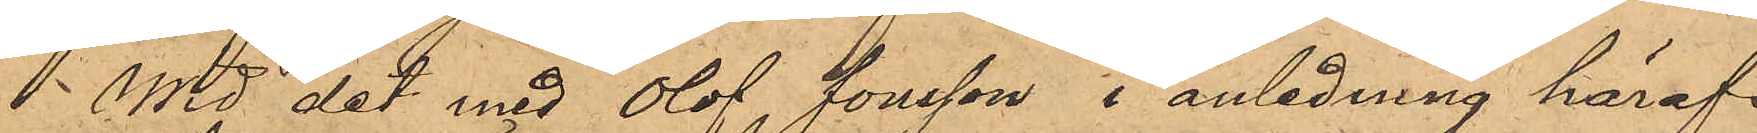Wid det med Olof Jonsson, i anledning häraf
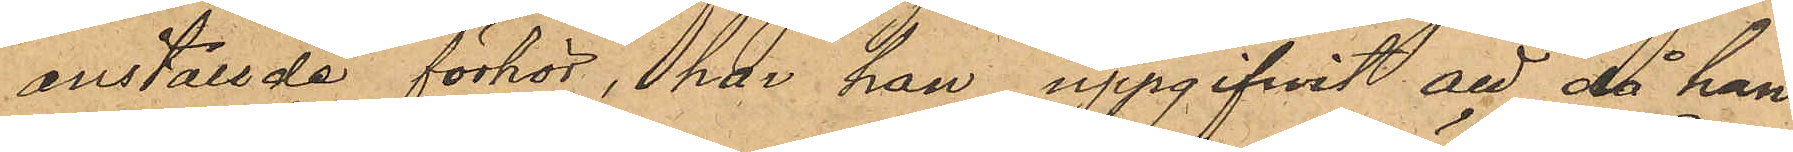anställde förhör, har han uppgifvit att då han
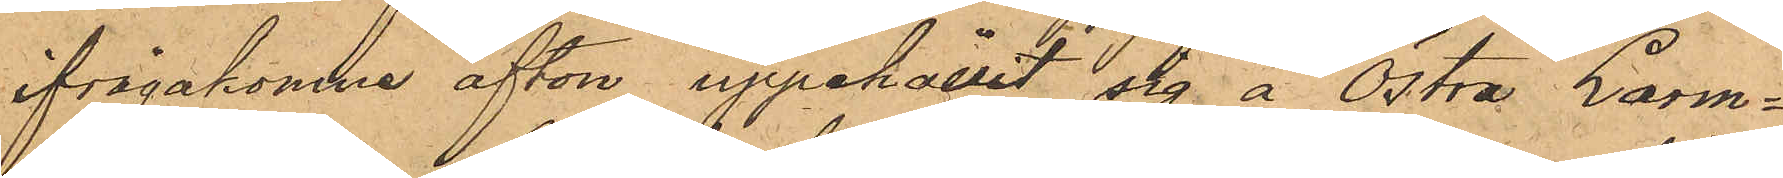ifrågakomne afton uppehållit sig å Östra Larm¬
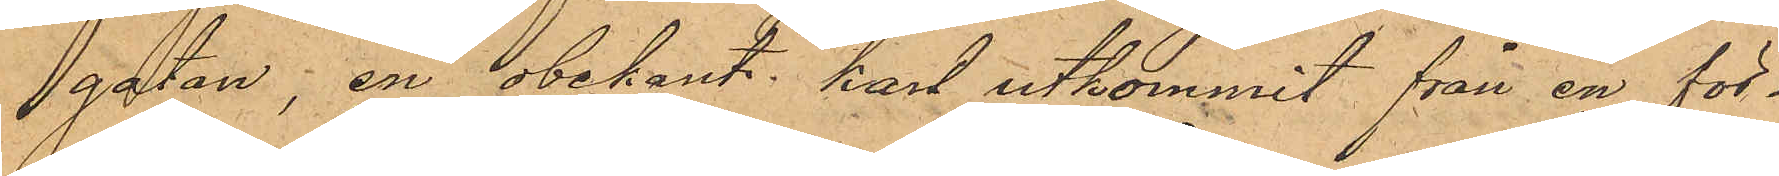gatan, en obekant karl utkommit från en för¬
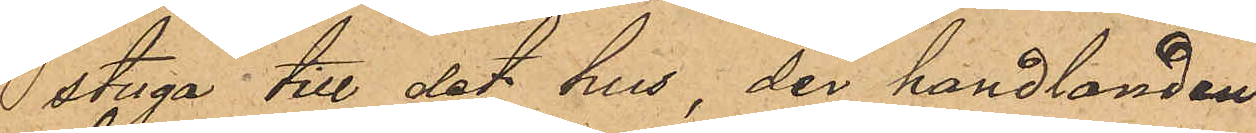stuga till det hus, der handlanden
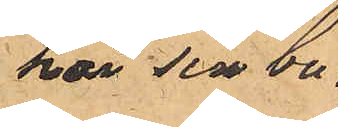har sin bu¬
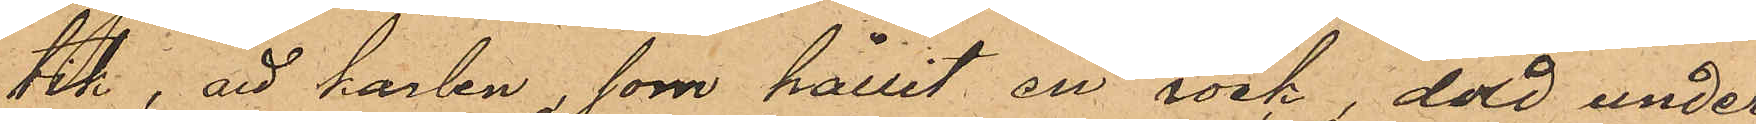tik, att karlen, som hållit en rock, dold under
